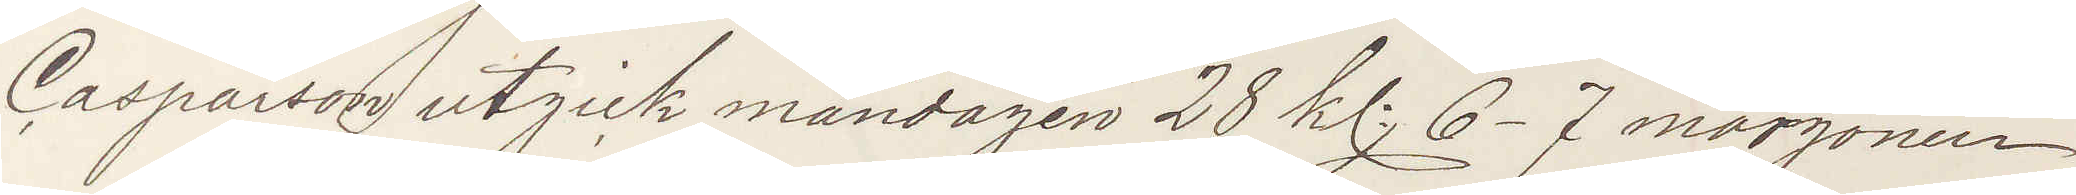Casparson utgick måndagen 28 kl 6-7 morgonen
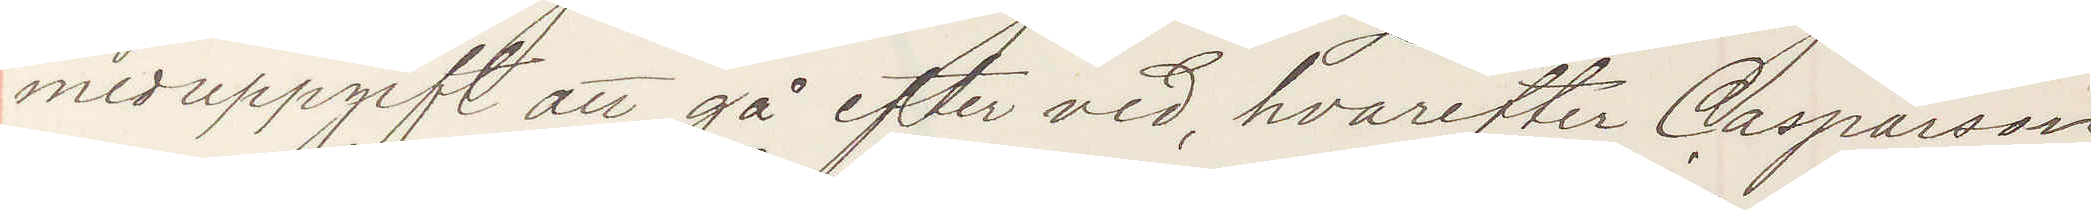med uppgift att gå efter ved, hvarefter Casparsson
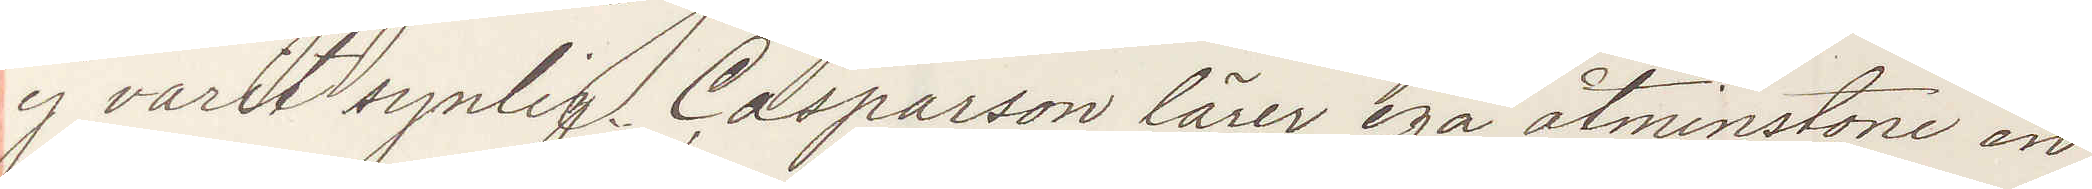ej varit synlig. Casparson lärer ega åtminstone en
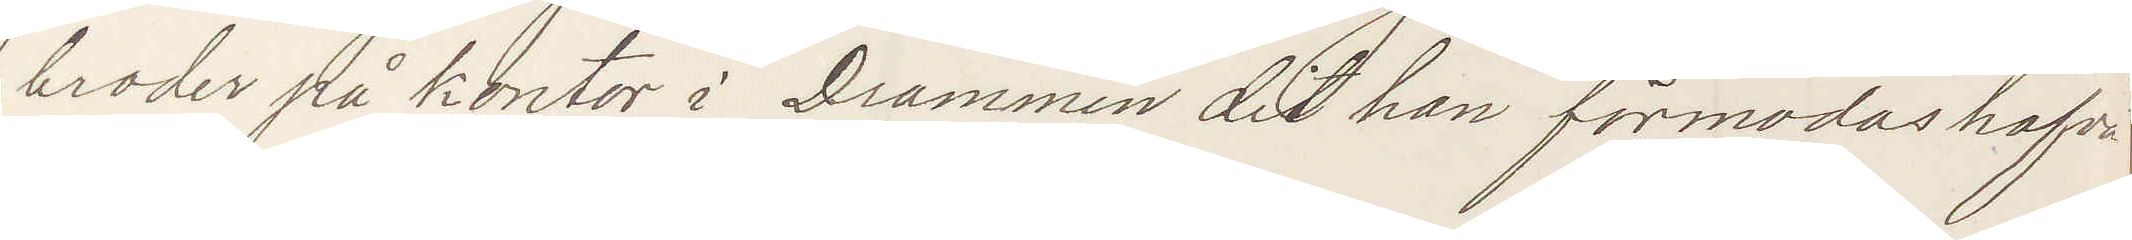broder på kontor i Drammen dit han förmodas hafva
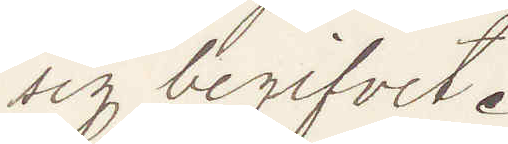sig begifvit.
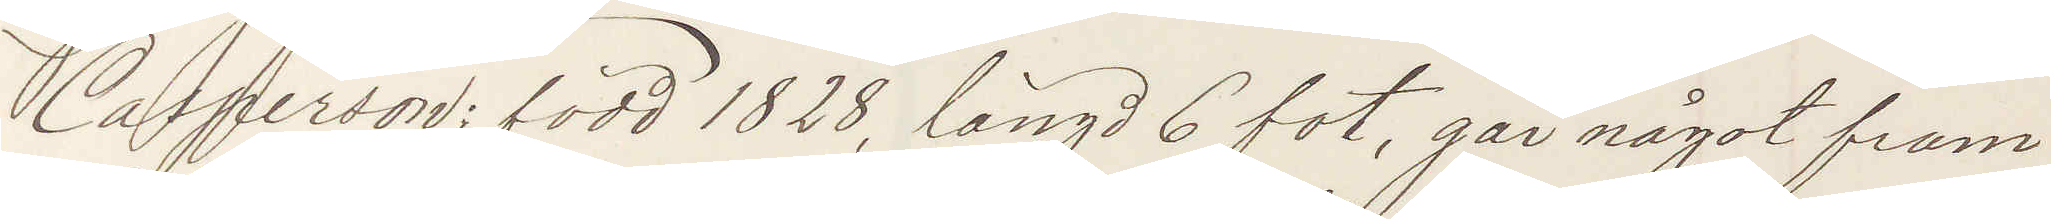Casperson: född 1828, längd 6 fot, går något fram¬
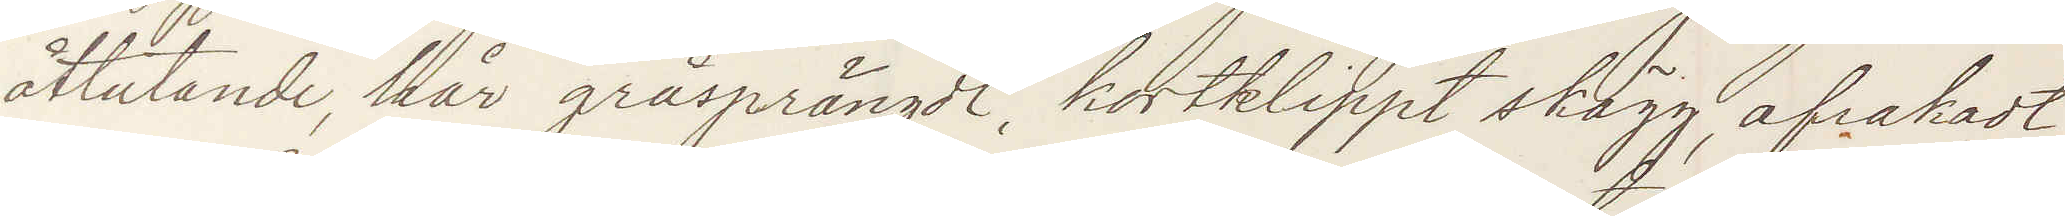åtlutande, hår gråsprängdt, kortklippt skägg, afrakadt
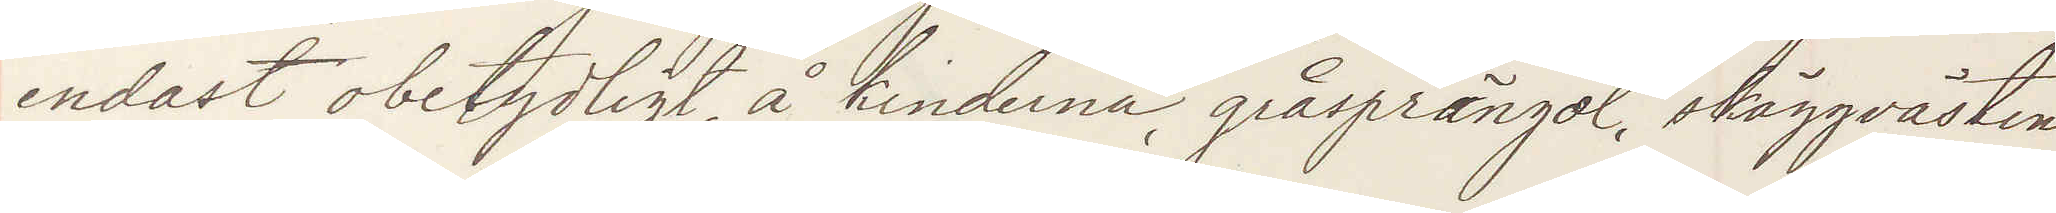endast obetydligt, å kinderna, gråsprängdt, skäggvästen
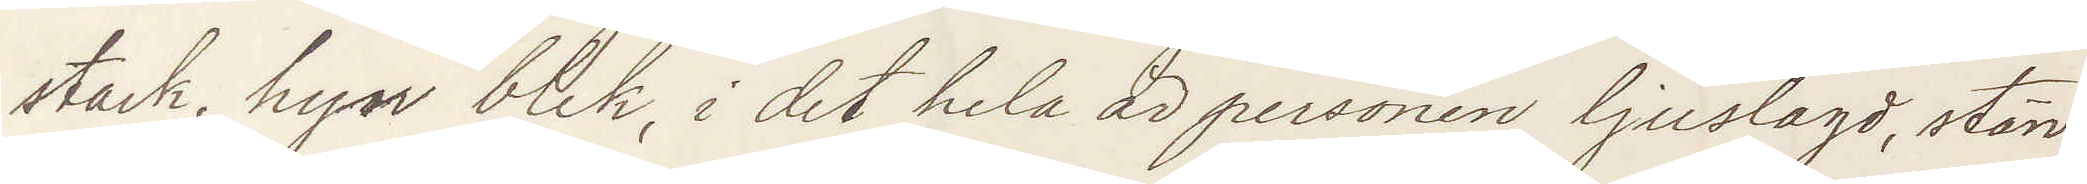stark, hyn blek, i det hela är personen ljuslagd, stän¬
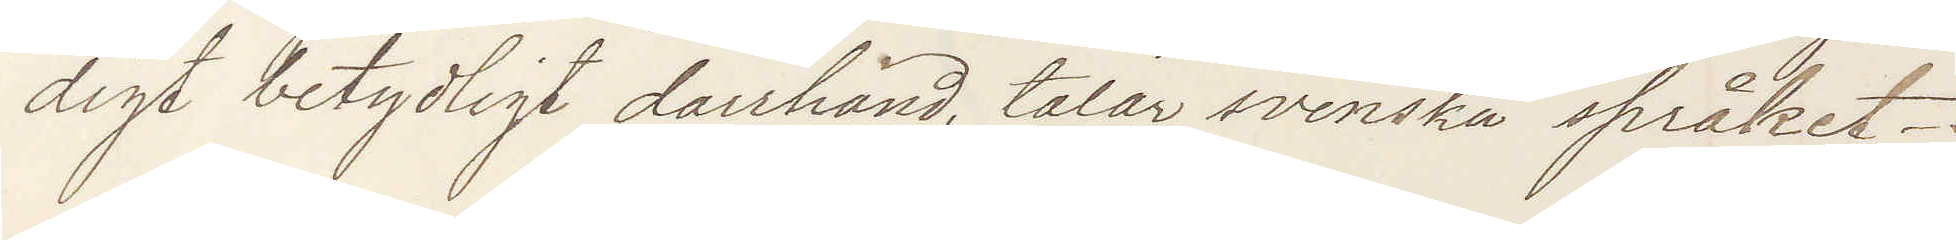digt betydligt darrhänd, talar svenska språket.
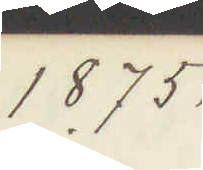1875.
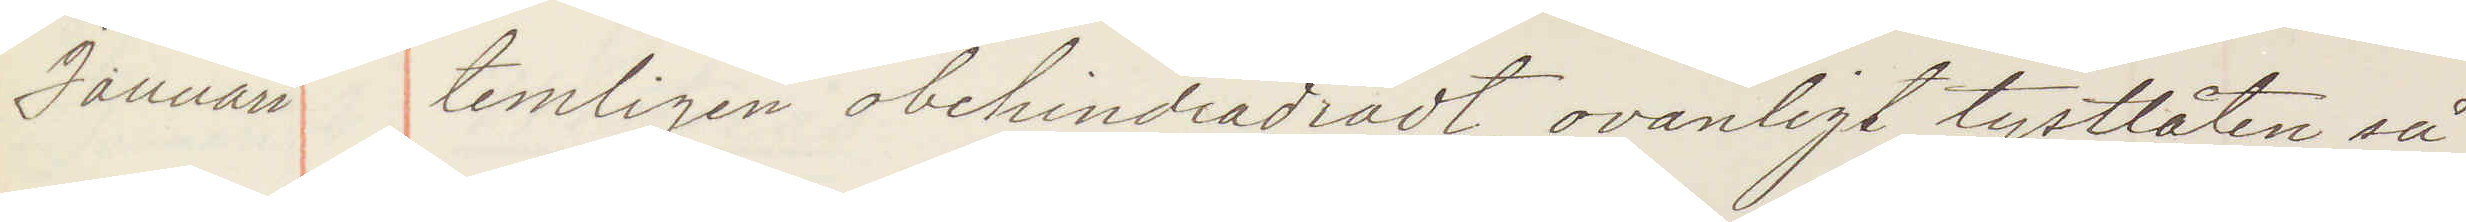Januari temligen obehindradt, ovanligt tystlåten så¬
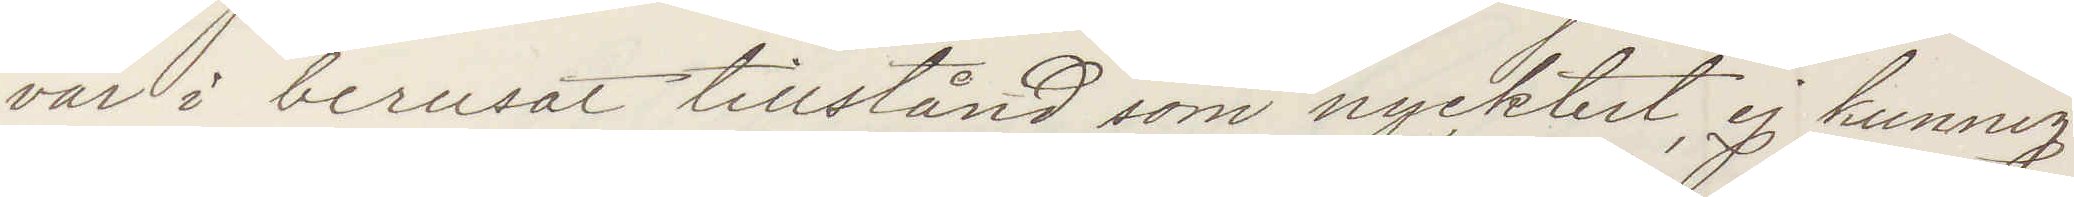väl i berusat tillstånd som nykterhet, ej kunnig
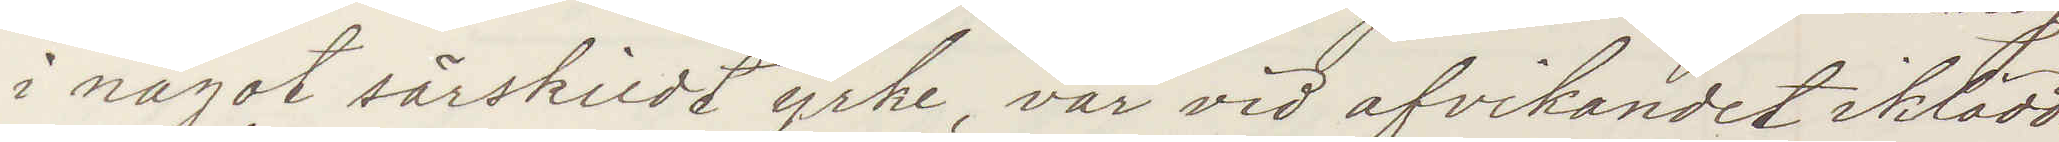i något särskildt yrke, var vid afvikandet iklädd:
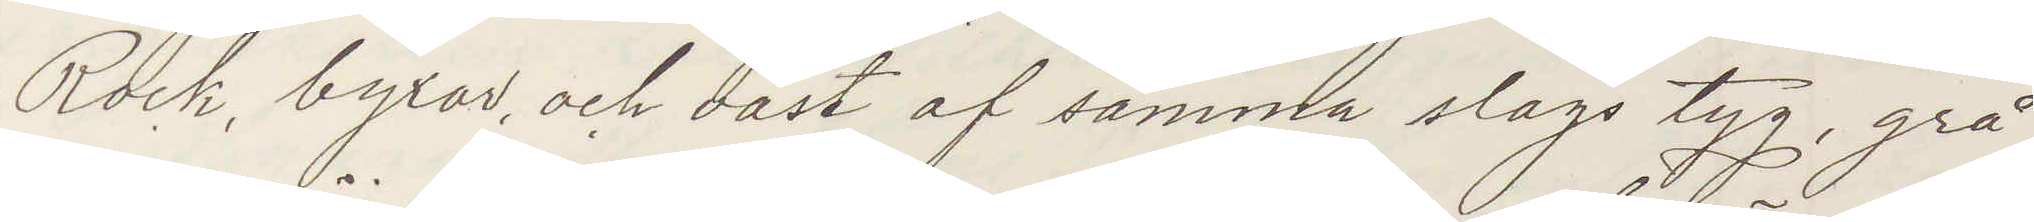Rock, byxor och väst af samma slags tyg, grå
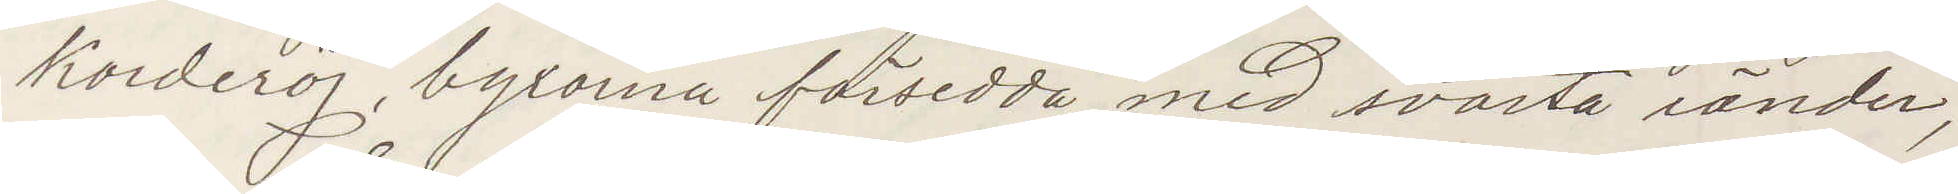Korderoj, byxorna försedda med svarta ränder,
